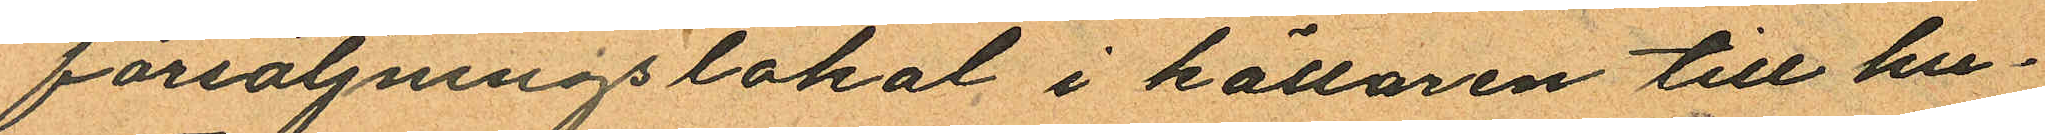försäljningslokal i källaren till hu¬
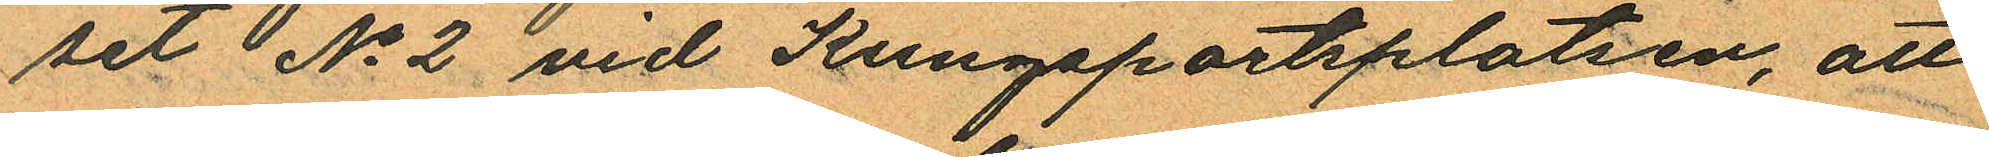set No 2 vid Kungsportsplatsen, att
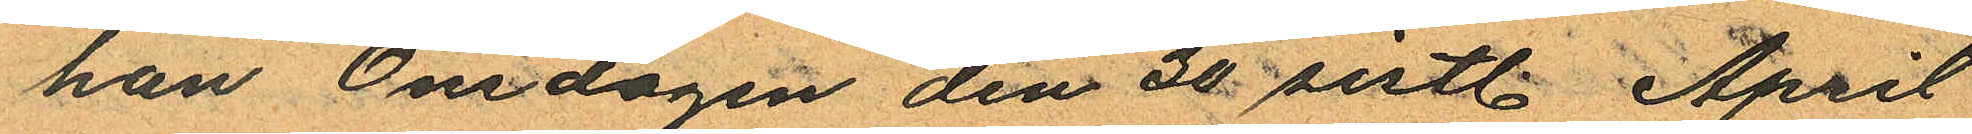han Onsdagen den 30 sistl. April
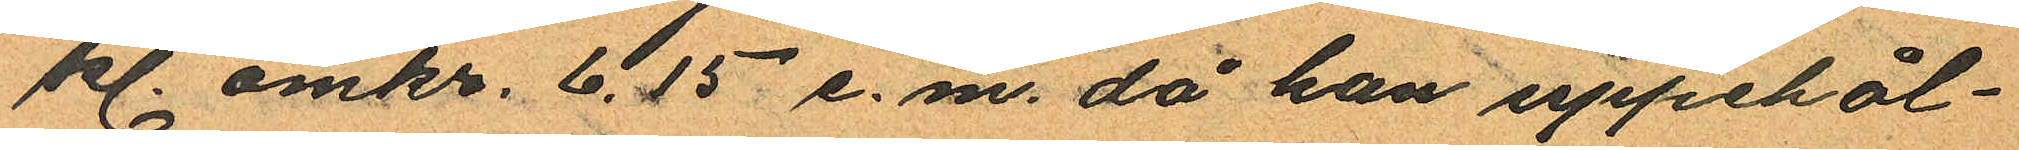kl. omkr. 6.15 e.m. då han uppehål¬
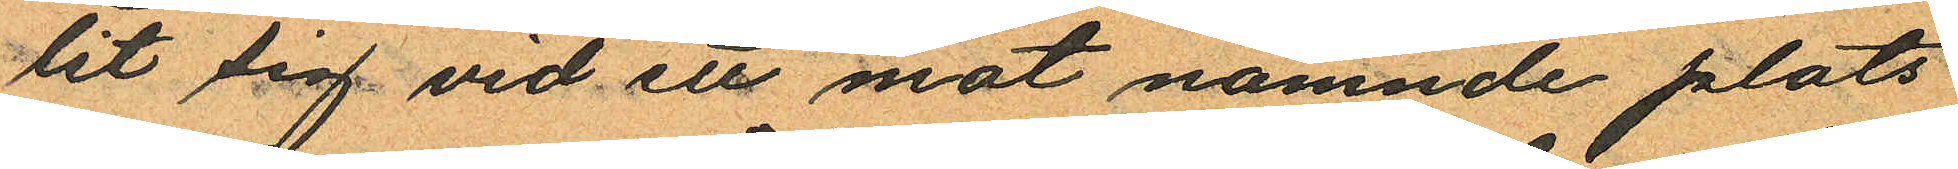lit sig vid ett mot nämnde plats
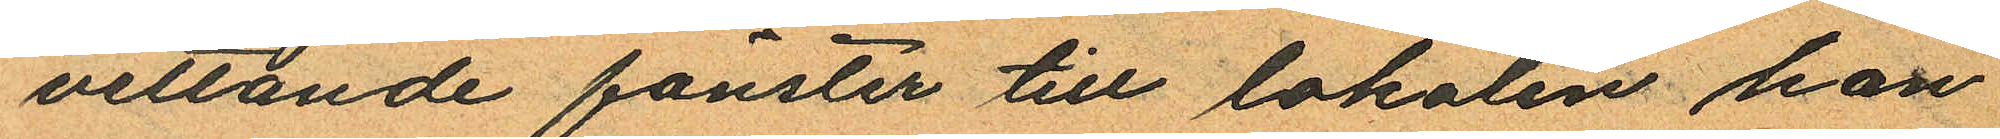vettande fönster till lokalen han
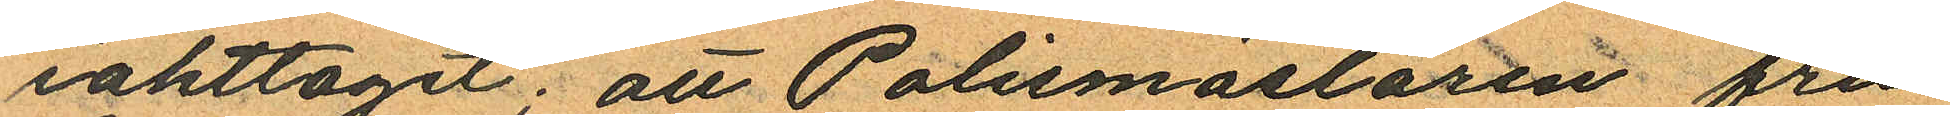iakttagit; att Polismästaren fru
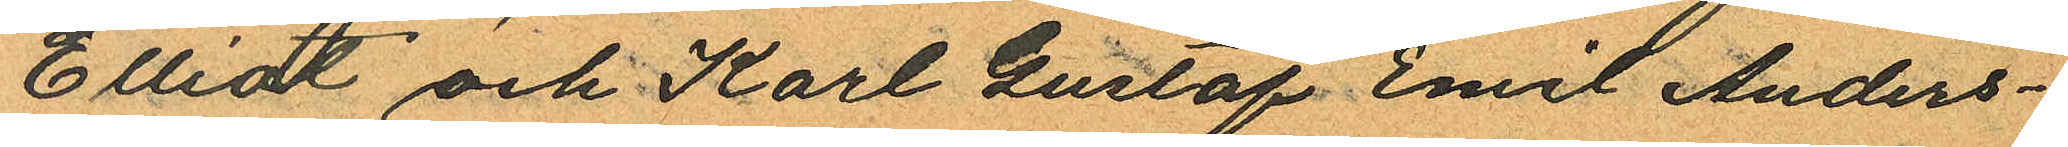Elliot och Karl Gustaf Emil Anders¬
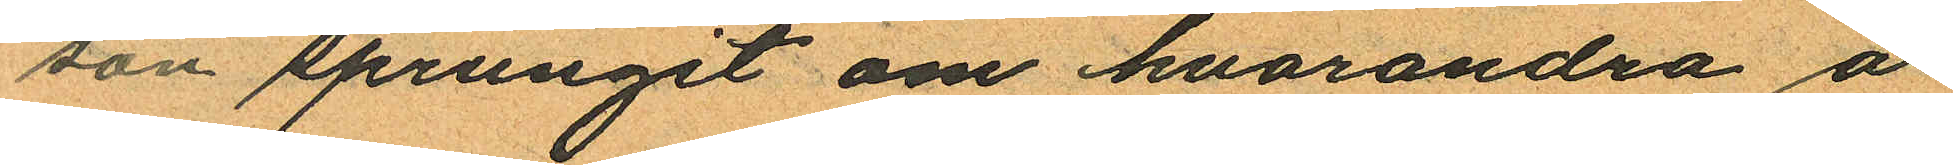son sprungit om hvarandra å
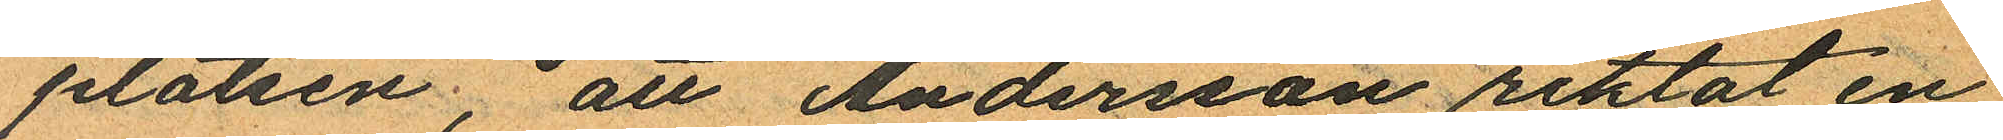platsen, att Andersson riktat en
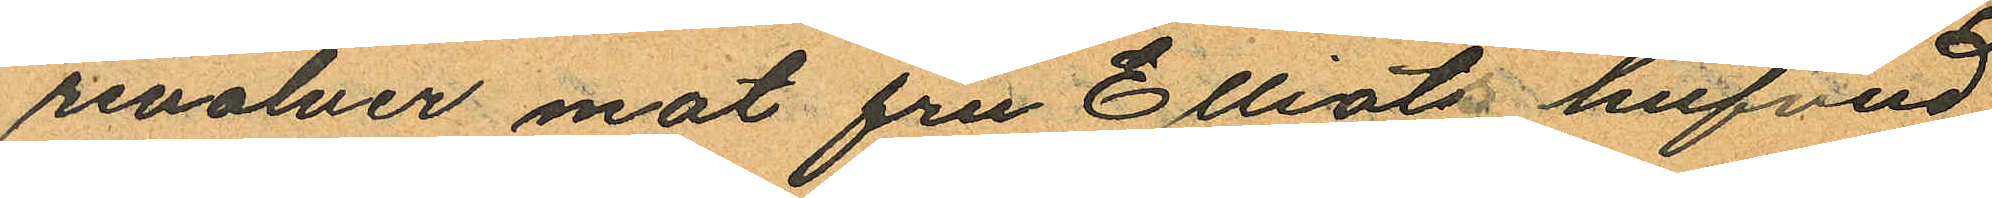revolver mot fru Elliots hufvud
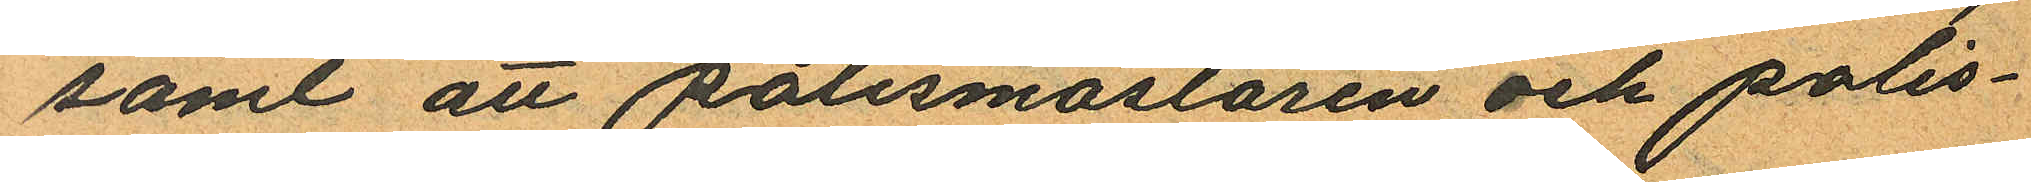samt att polismästaren och polis¬
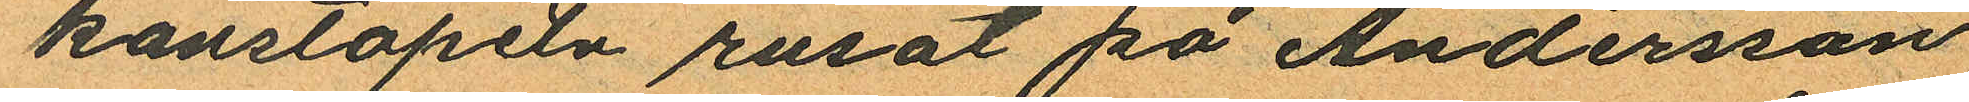konstapeln rusat på Andersson
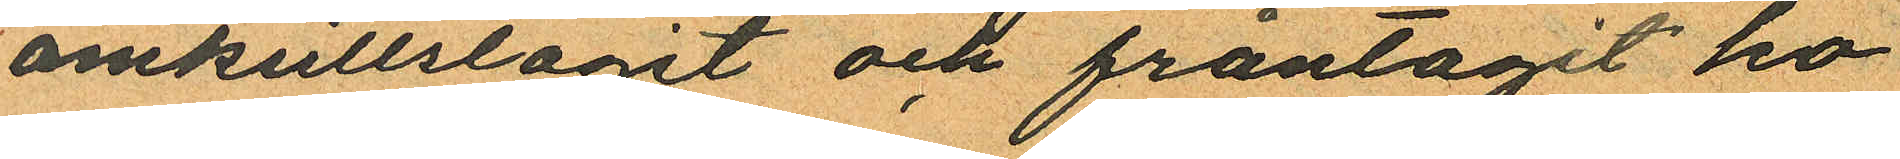omkullslagit och fråntagit ho¬
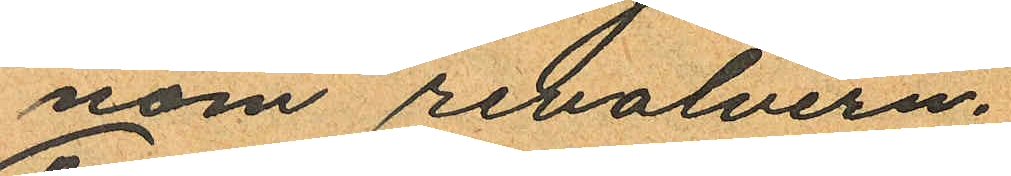nom revolvern.
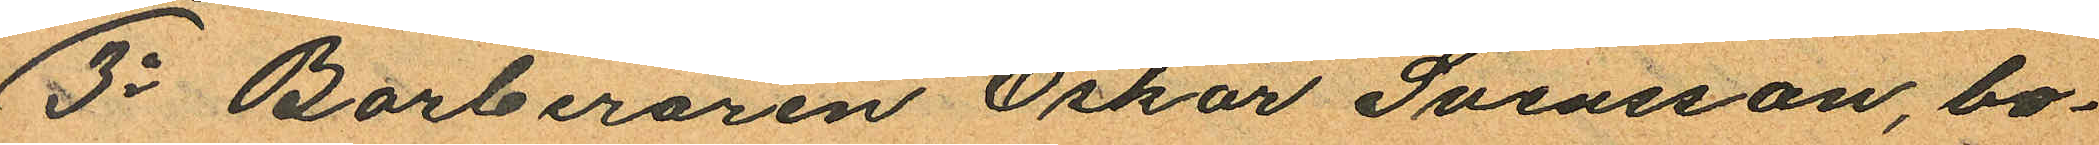3o Barberaren Oskar Svensson, bo¬
